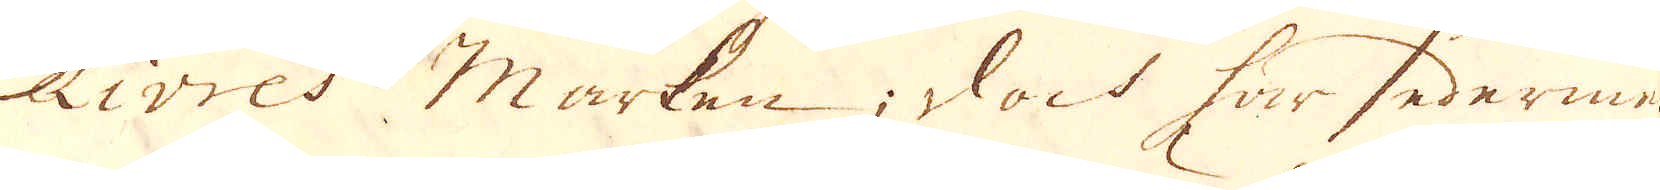Livres marken; dock har sedermera
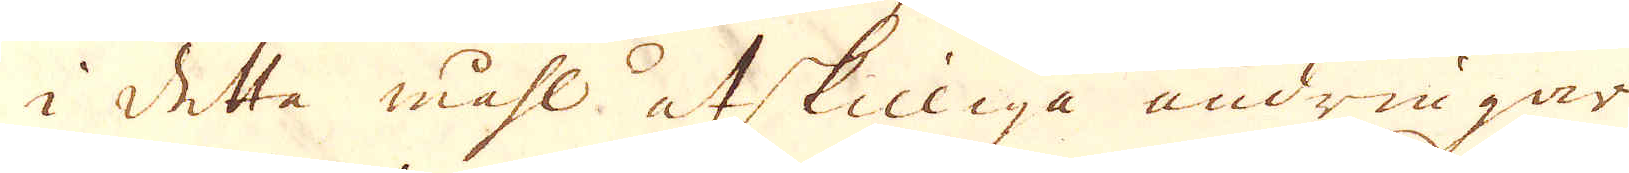i detta måhl åtskilliga ändringar.
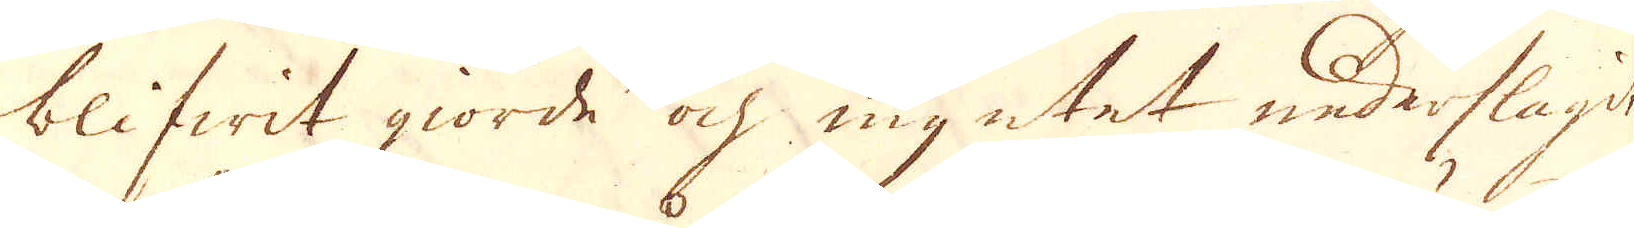blifwit giorde och myntet nederslagit.
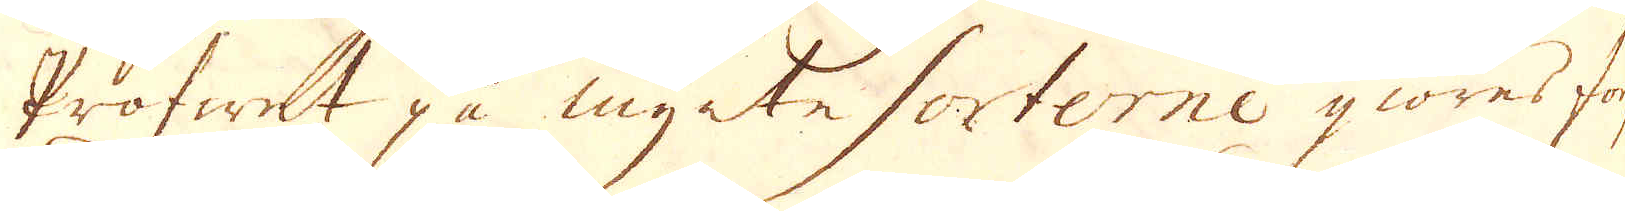Profwet på mynte sorterne giöres forf
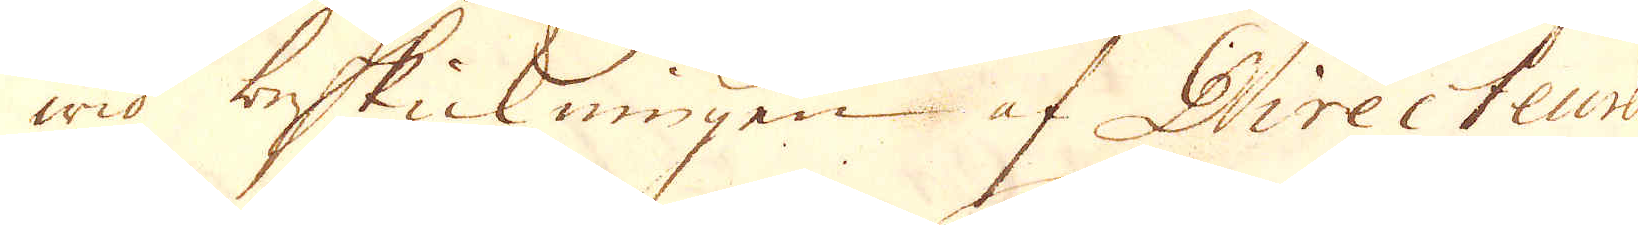wid beskickningen af Directeuren
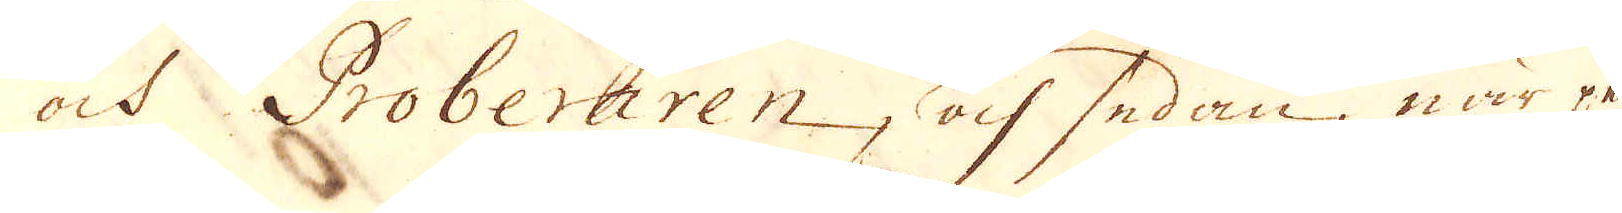och Proberaren, och sedan, när pe-
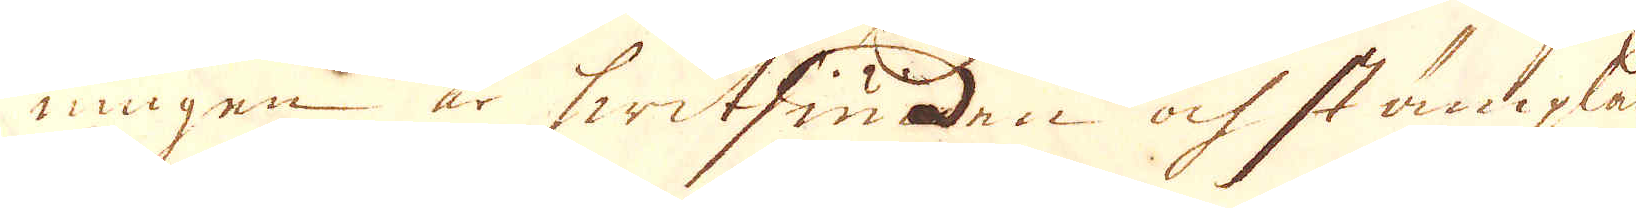ningen är hwitsiuden ock stämplas
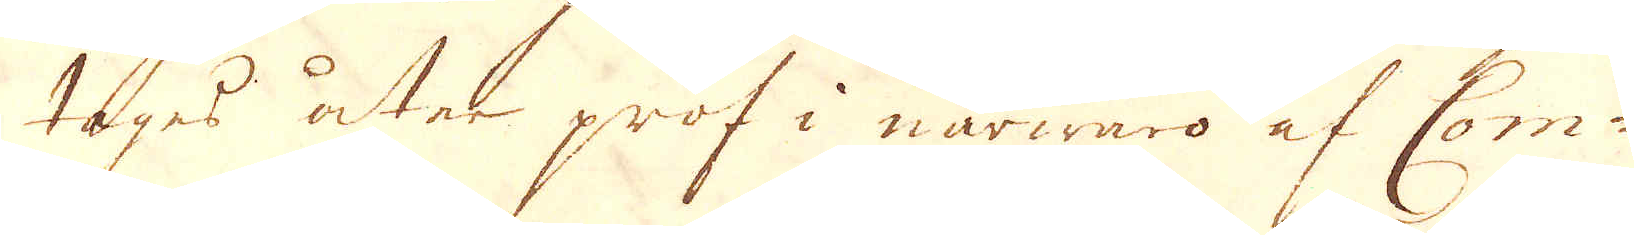tages åter prof i närwaro af Com-
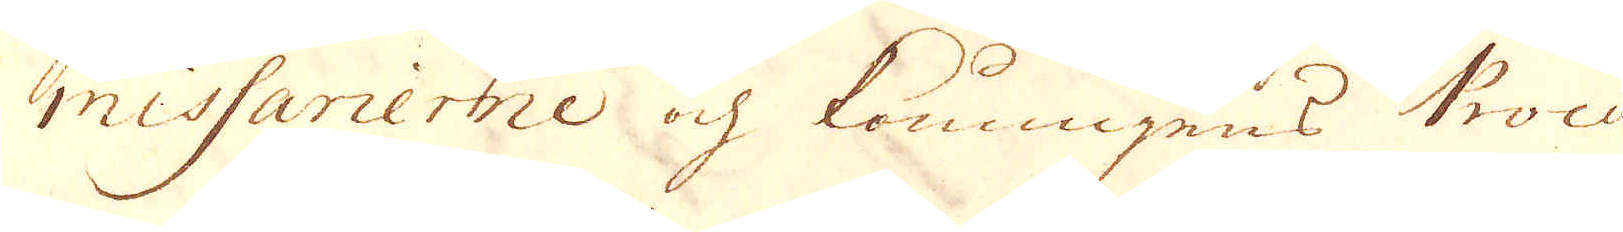missarierne och Konungen Procu-
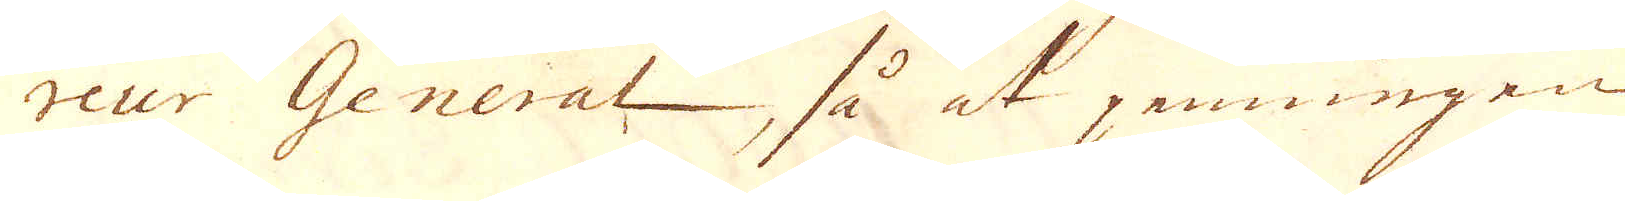reur General, så at penningen
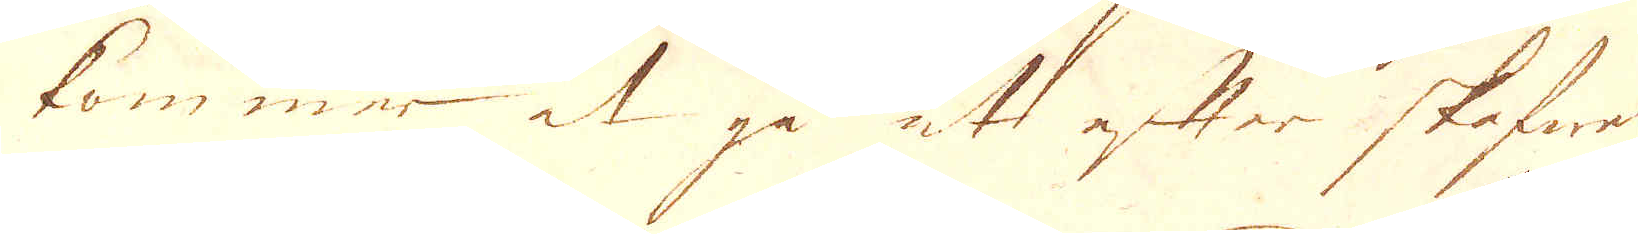kommer at gå åt efter skefwer
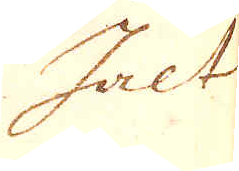halt
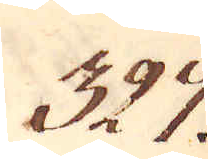327.
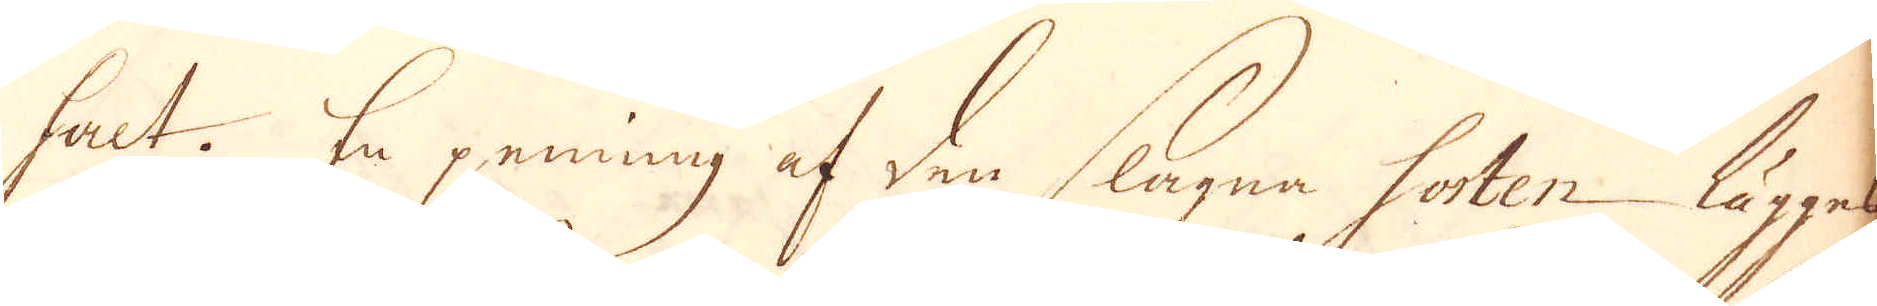halt. En penning af den slagne sorten lägges
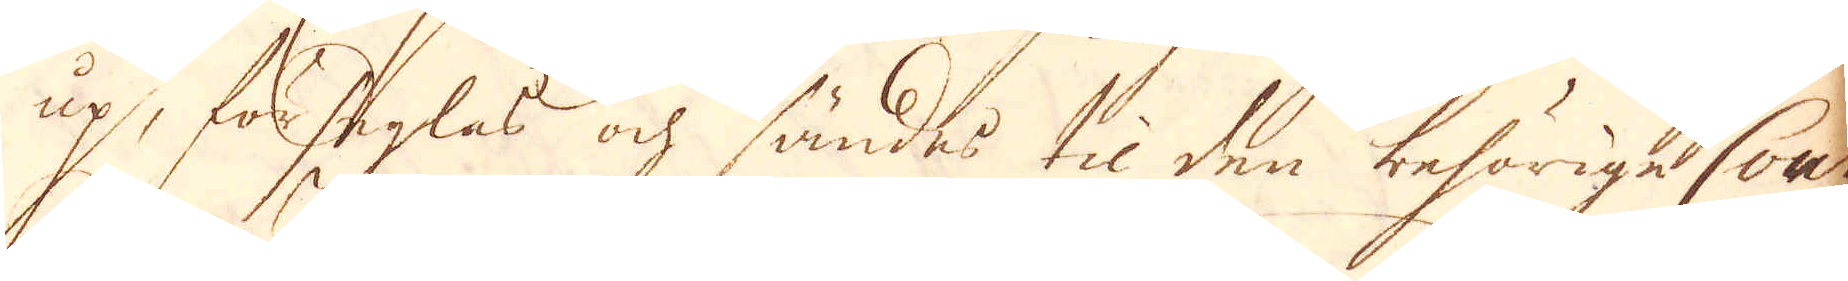up, förseglas ock sändes til den behörige Cou
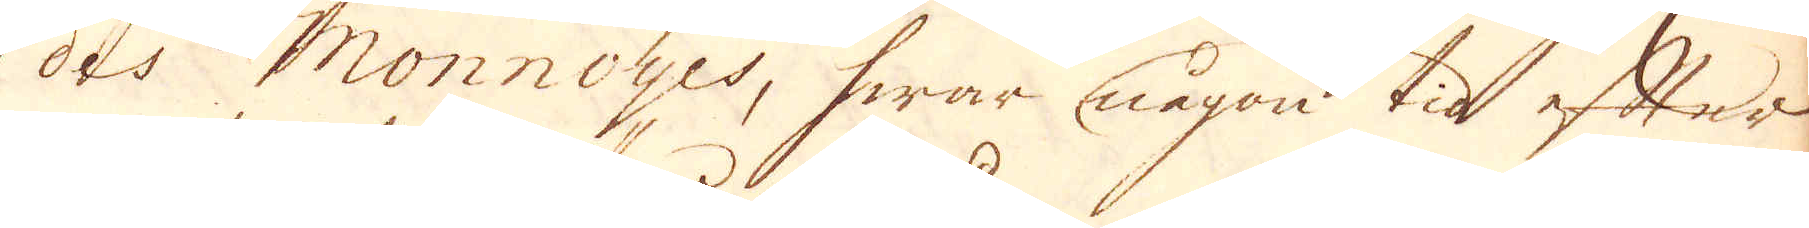des Monnoyes, hwar någon tid efter
